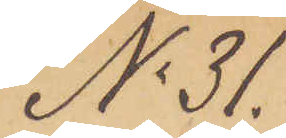No 31.
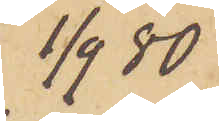1/9  80
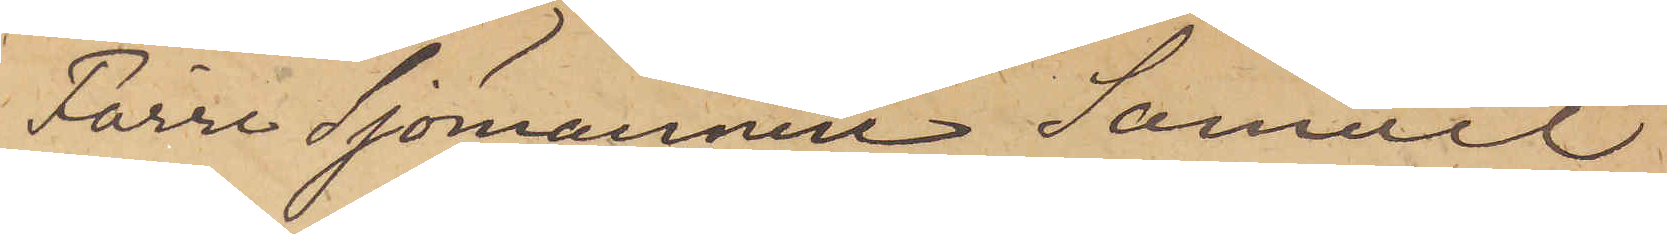Förre Sjömannen Samuel
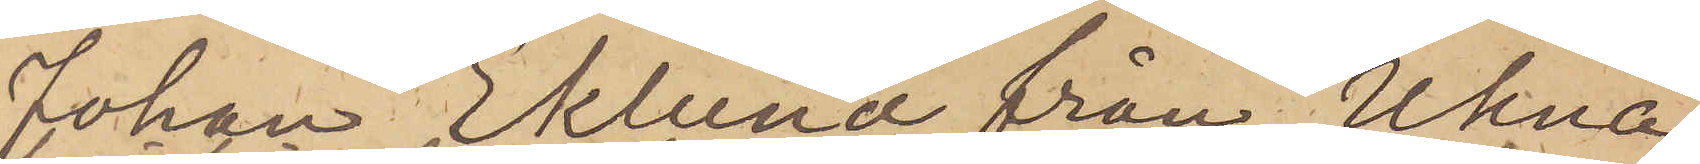Johan Eklund från Ukna
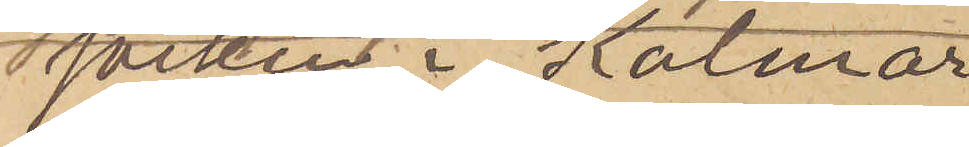socken i Kalmar
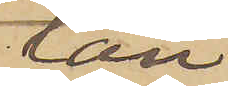Län
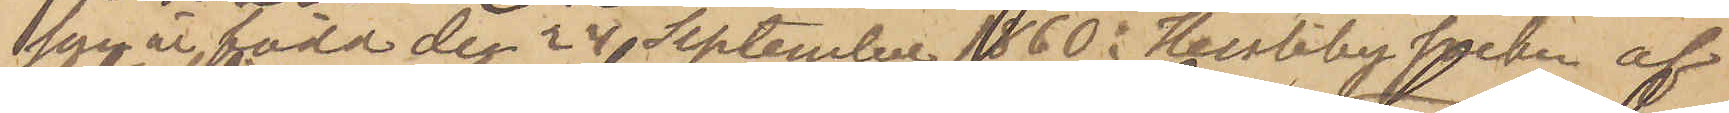som är född den 24 September 1860 i Hessleby socken af
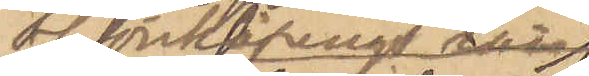af Jönköpings Län
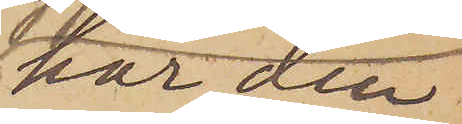har den
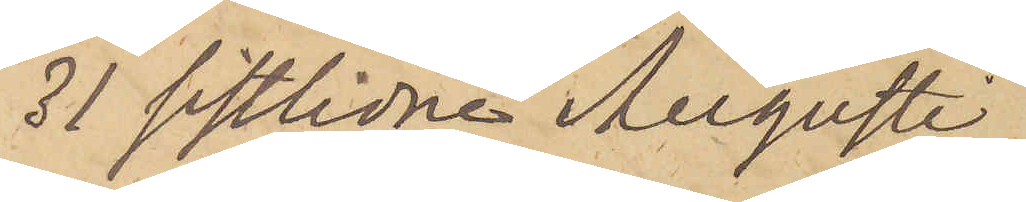31 sistlidne Augusti
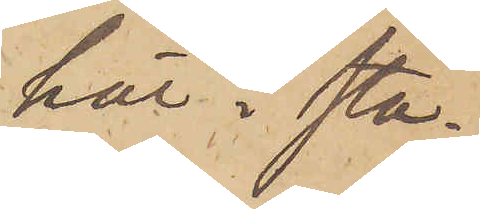här i sta¬
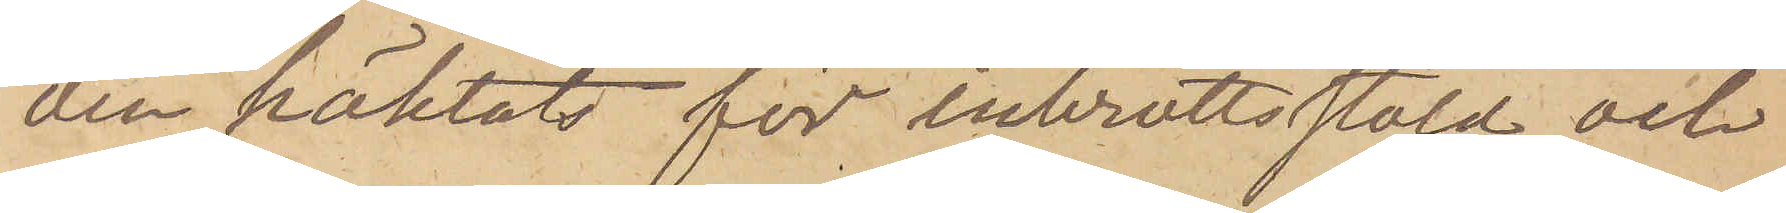den häktats för inbrottsstöld och
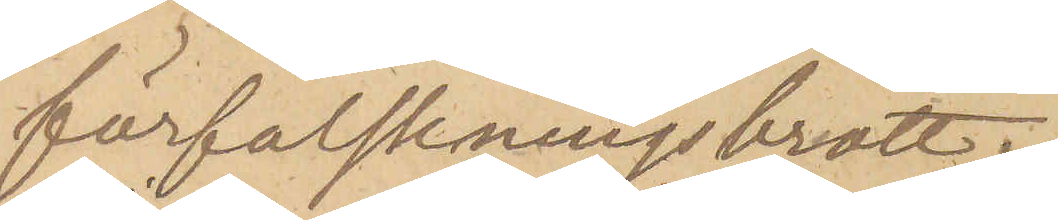förfalskningsbrott.
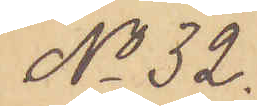No 32.
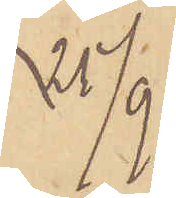25/9. 
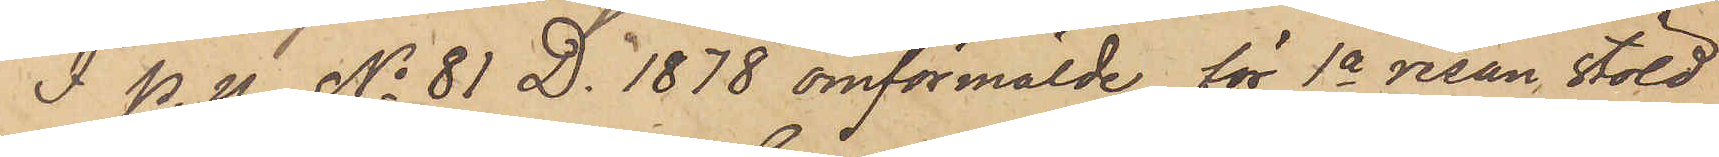I. P. U. No 81 D. 1878 omförmälde, för 1a resan stöld
